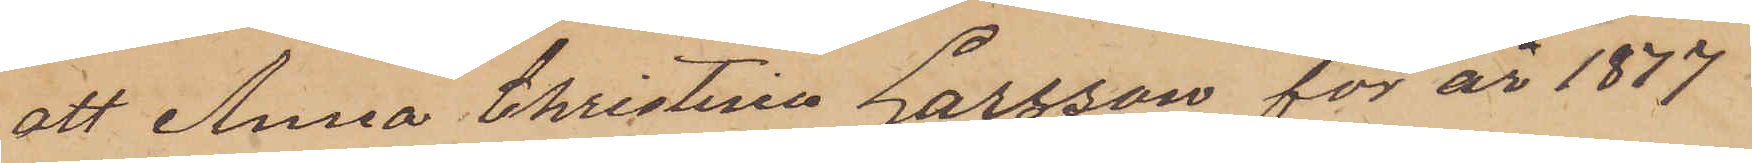att Anna Christina Larsson för år 1877
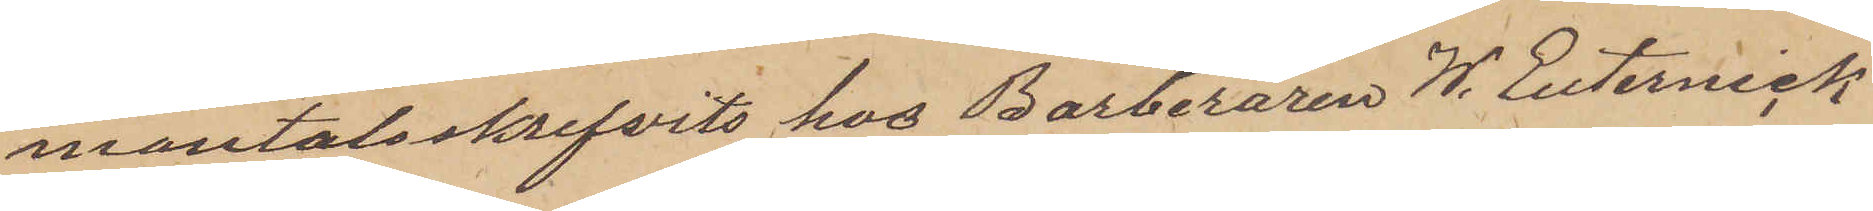mantalsskrifvits hos Barberaren W. Euterneck
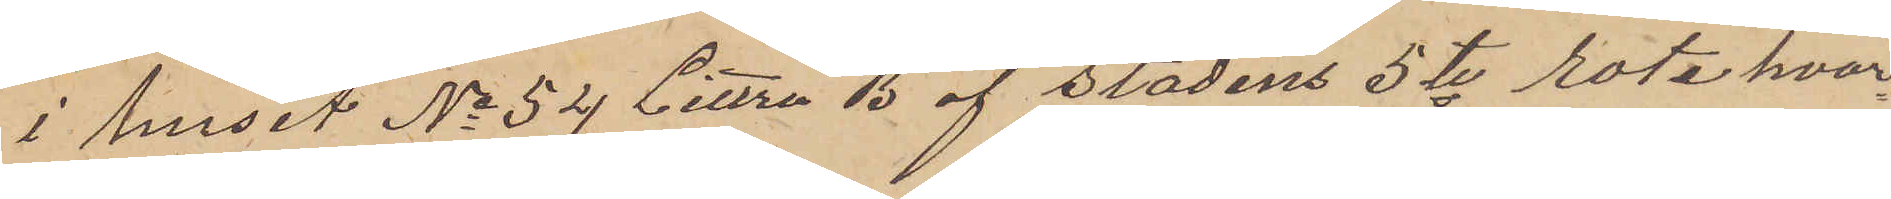i huset No 54 Littera B af stadens 5te rote hvar¬
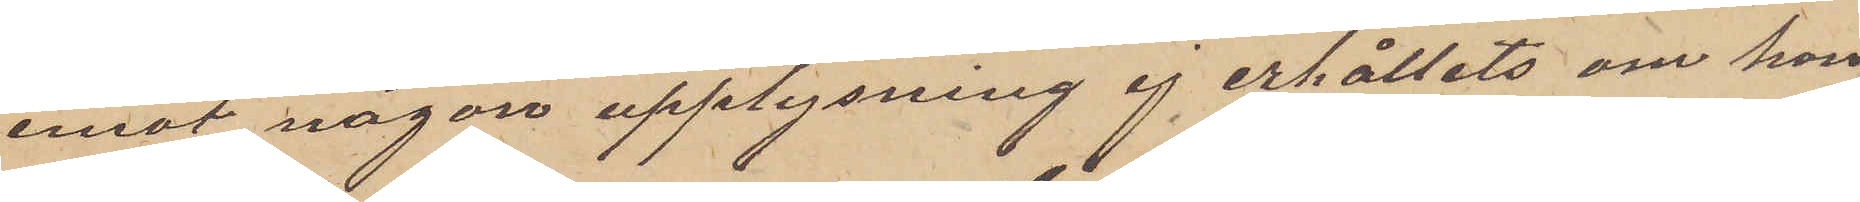emot någon upplysning ej erhållits om hon
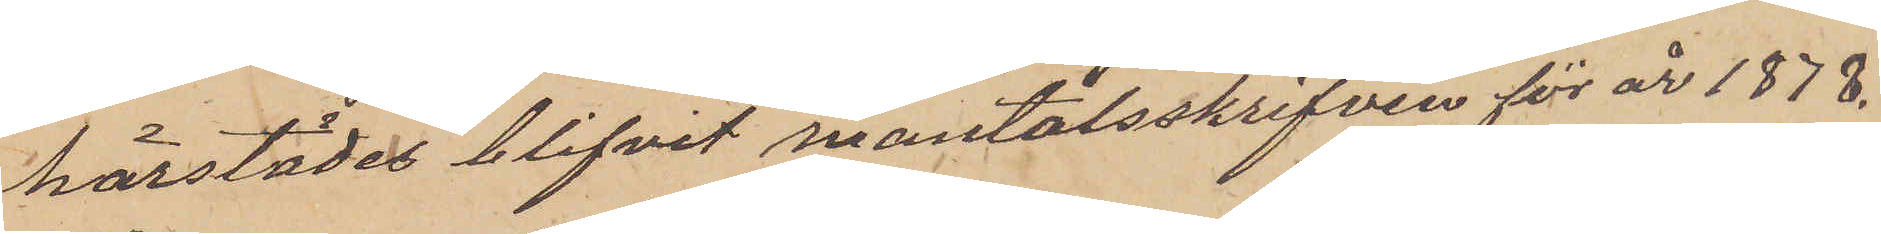härstädes blifvit mantalsskrifven för år 1878.
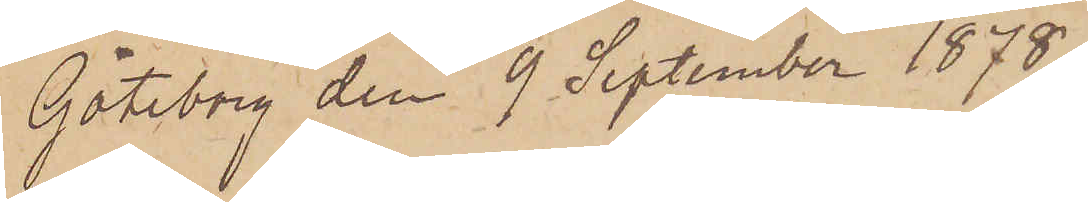Göteborg den 9 September 1878.
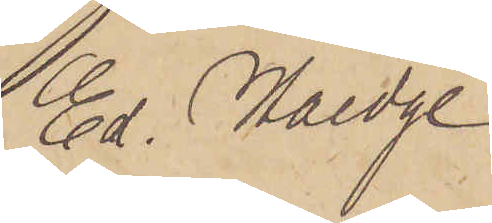Ed. Haedge
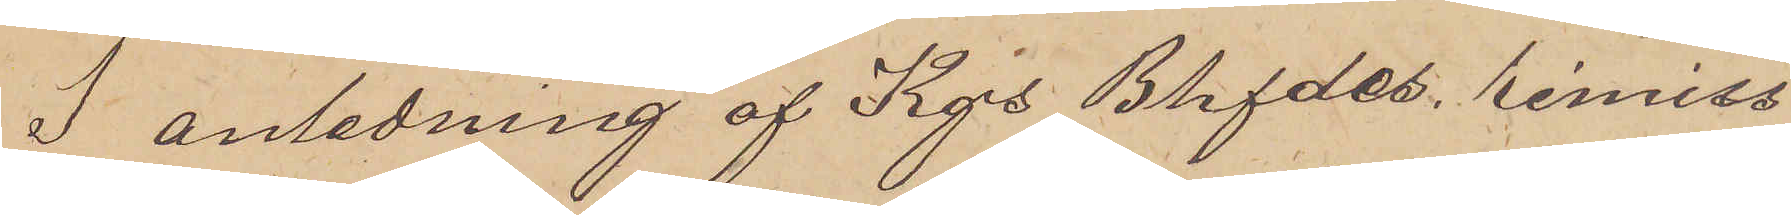I anledning af Kgs Bhfdes remiss
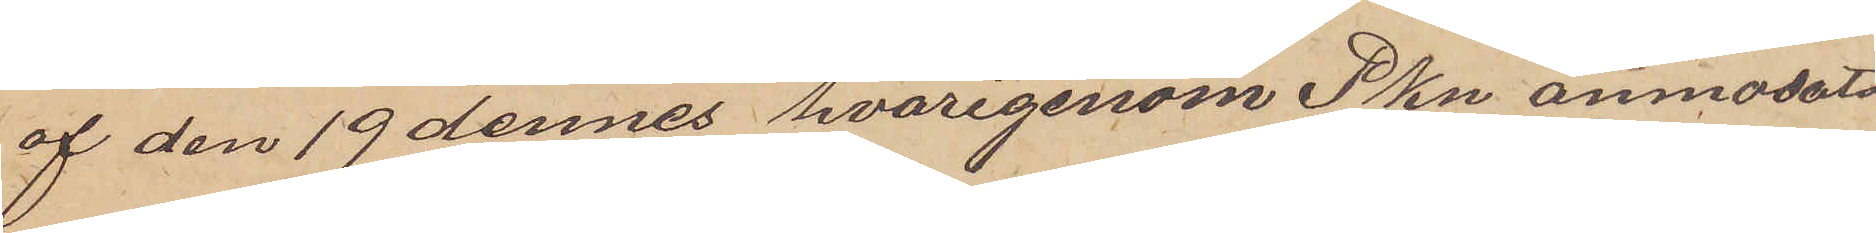af den 19 dennes hvarigenom Pkn anmodats
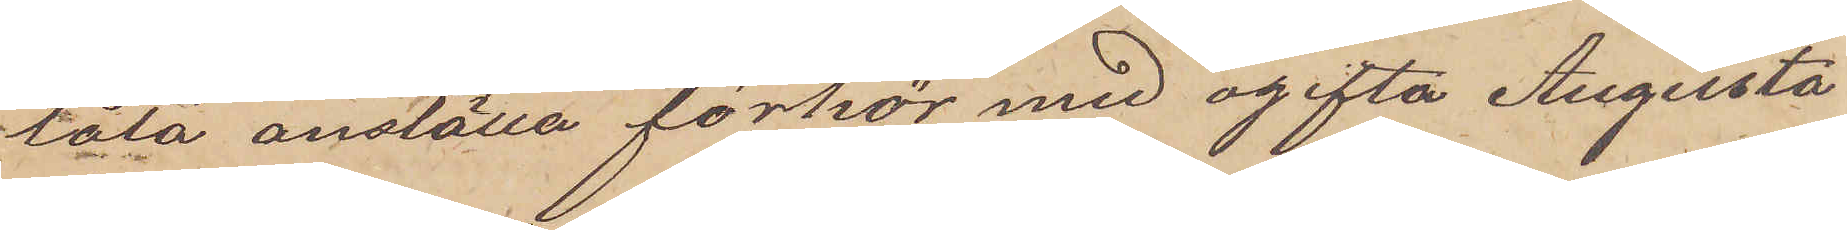låta anställa förhör med ogifta Augusta
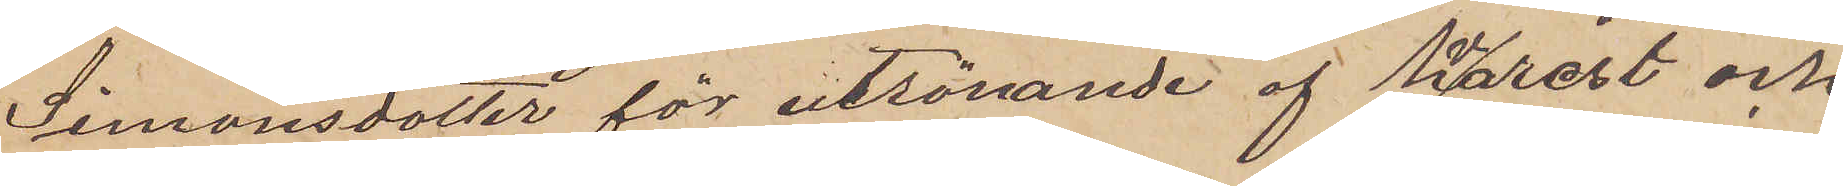Simonsdotter för utrönande af hvarest och
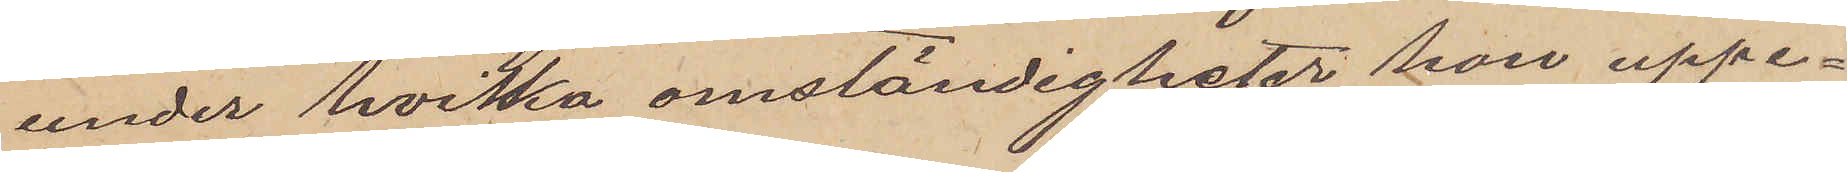under hvilka omständigheter hon uppe¬
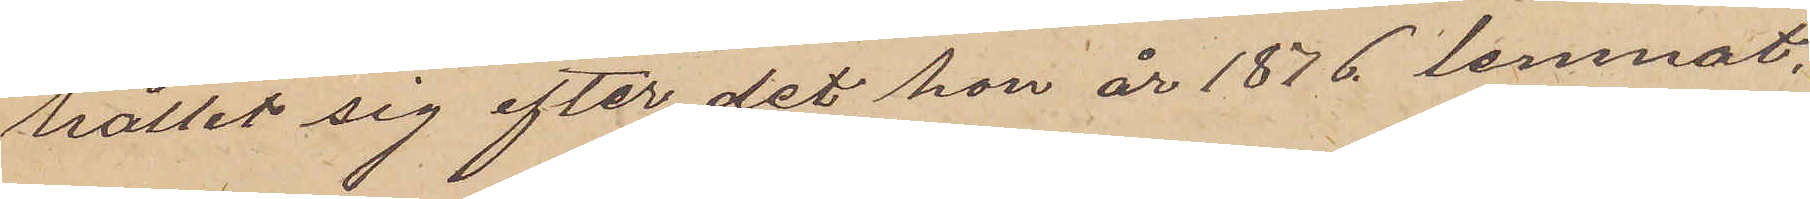hållit sig efter det hon år 1876 lemnat
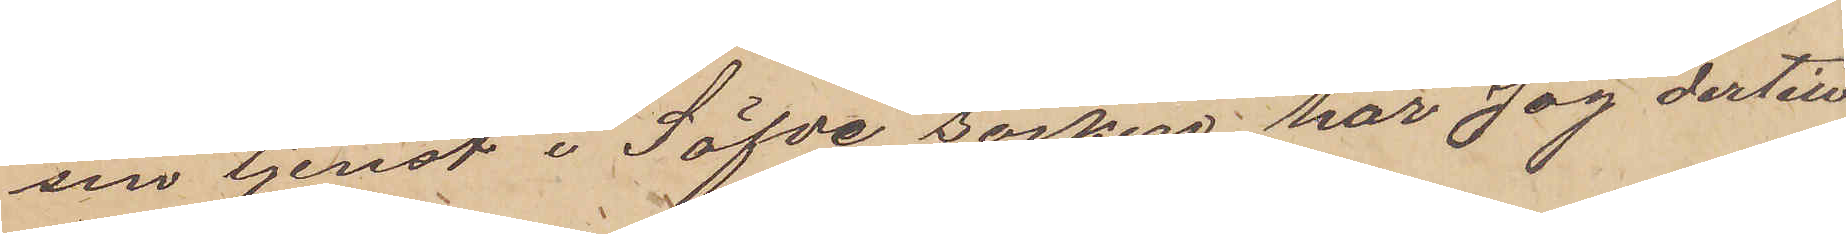sin tjenst i Säfve socken har jag dertill
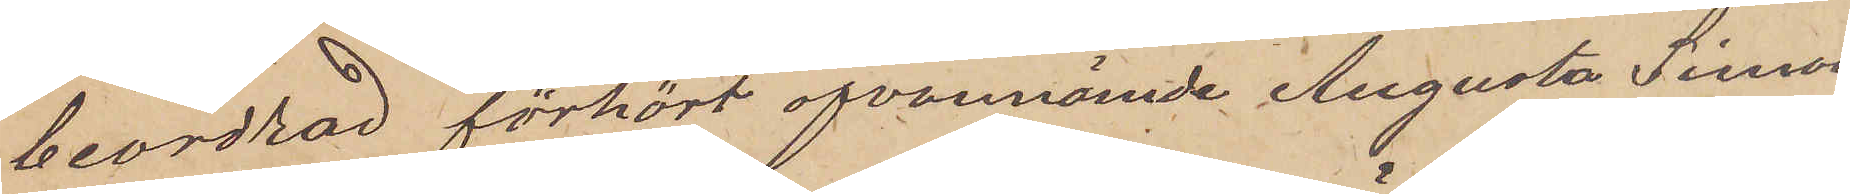beordrad förhört ofvannämde Augusta Simons¬
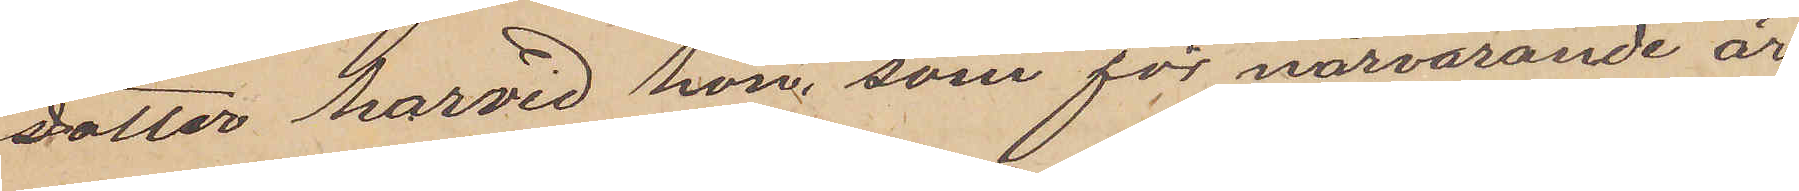dotter hvarvid hon, som för närvarande är
